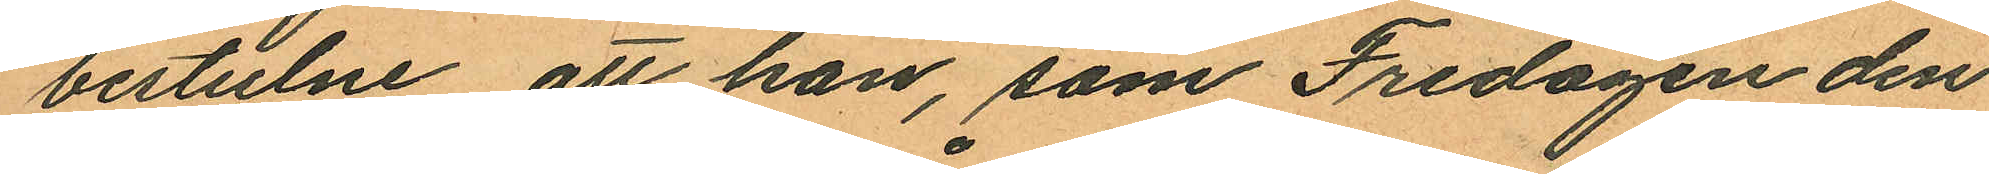bestulne, att han, som Fredagen den
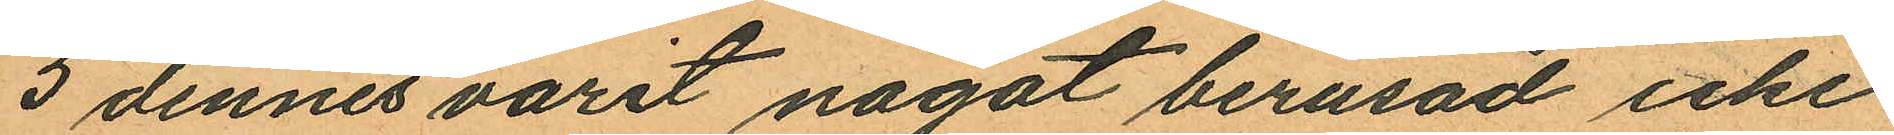5 dennes varit något berusad icke
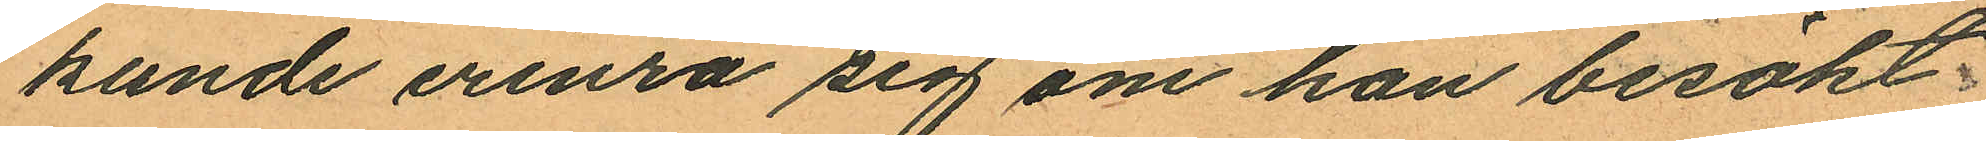kunde erinra sig om han besökt
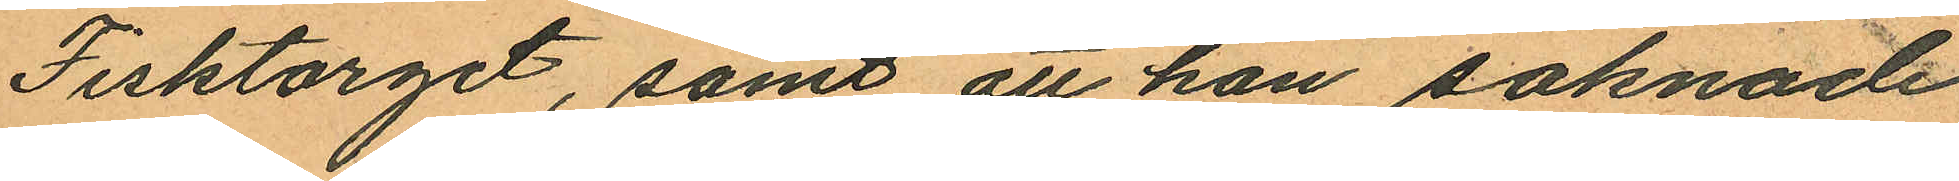Fisktorget, samt att han saknade
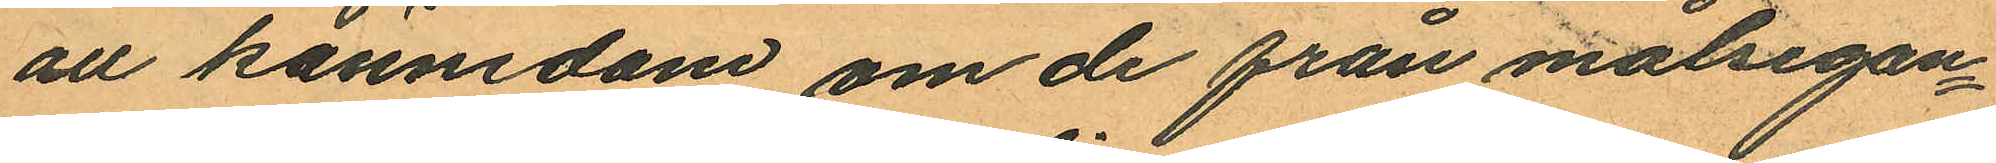all kännedom om de från målsegan¬
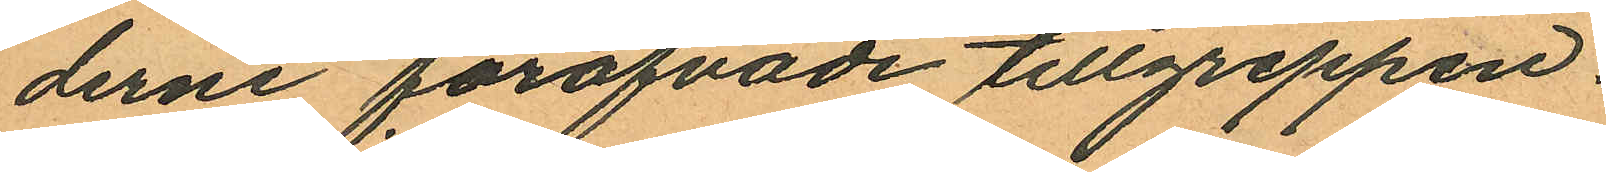derne föröfvade tillgreppen.
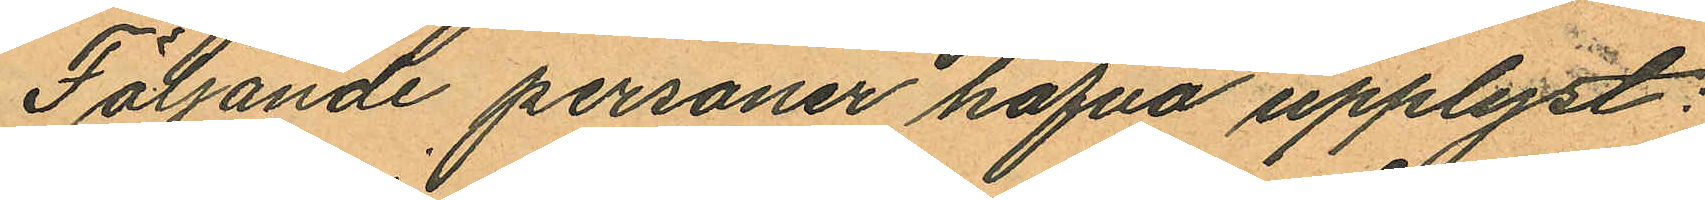Följande personer hafva upplyst:
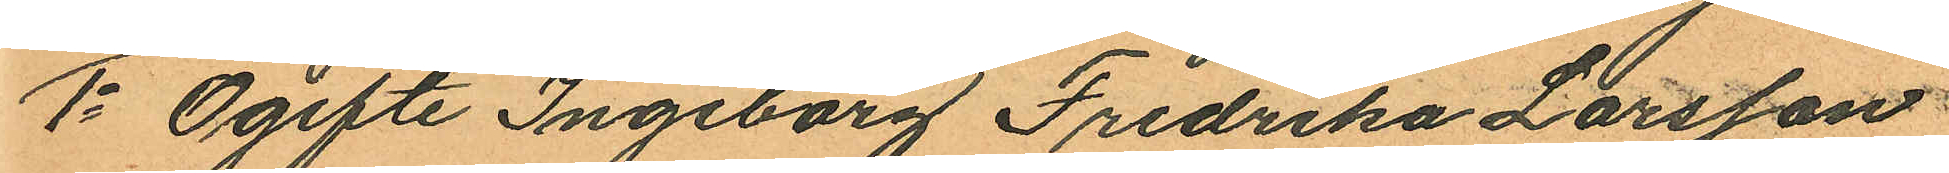1o Ogifte Ingeborg Fredrika Larsson
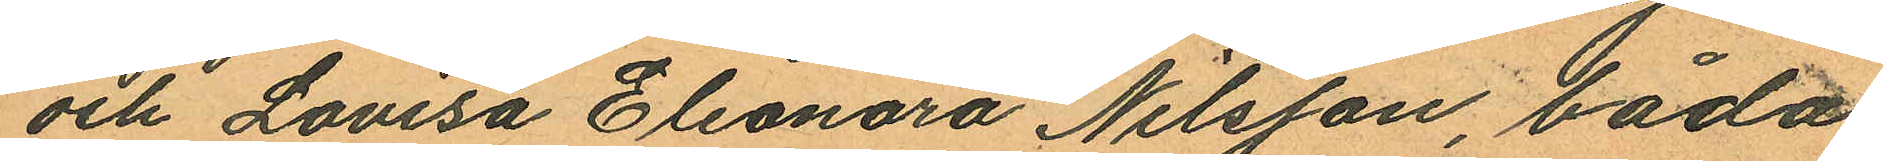och Lovisa Eleonora Nilsson, båda
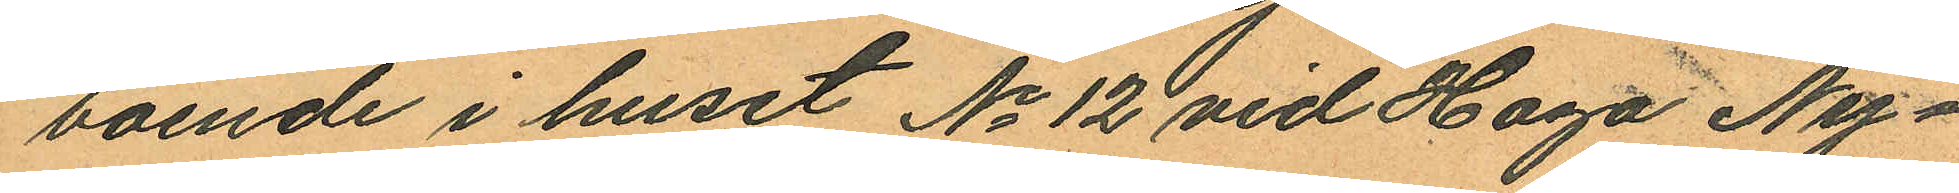boende i huset No 12 vid Haga Ny¬
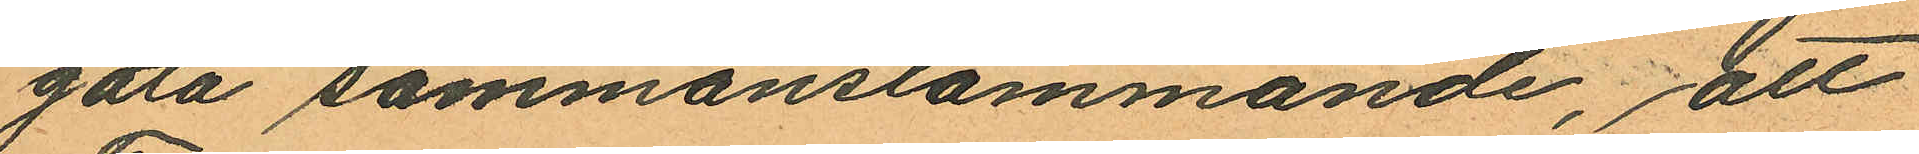gata sammanstämmande, att
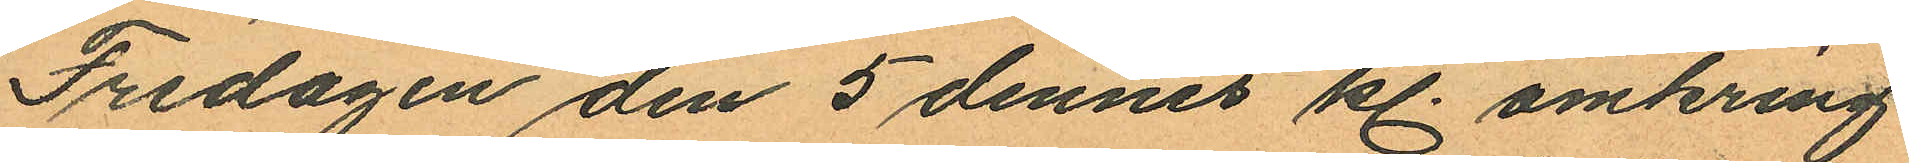Fredagen den 5 dennes kl. omkring
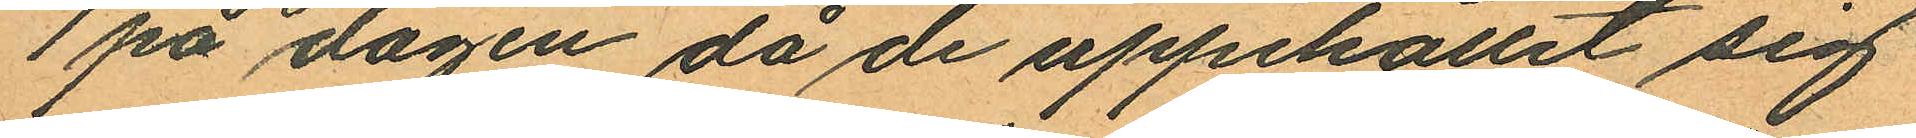1 på dagen då de uppehållit sig
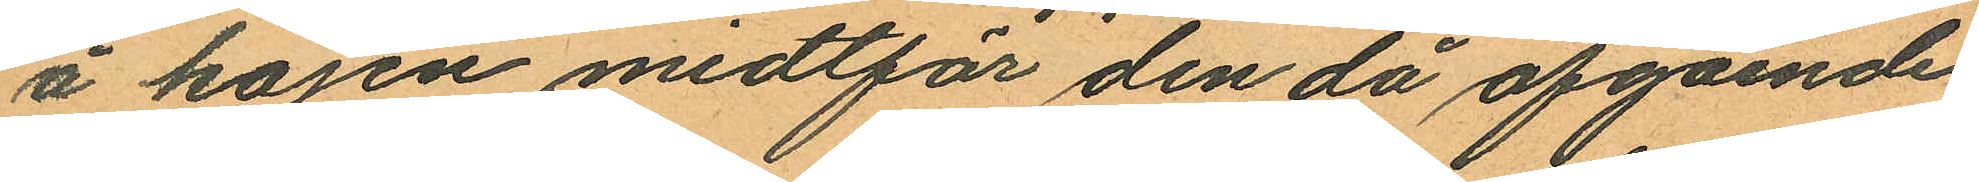å kajen midtför den då afgående
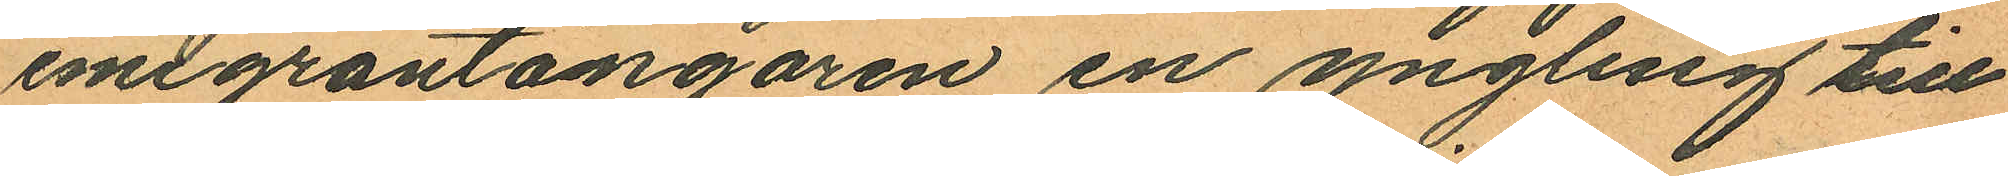emigrantångaren en yngling till
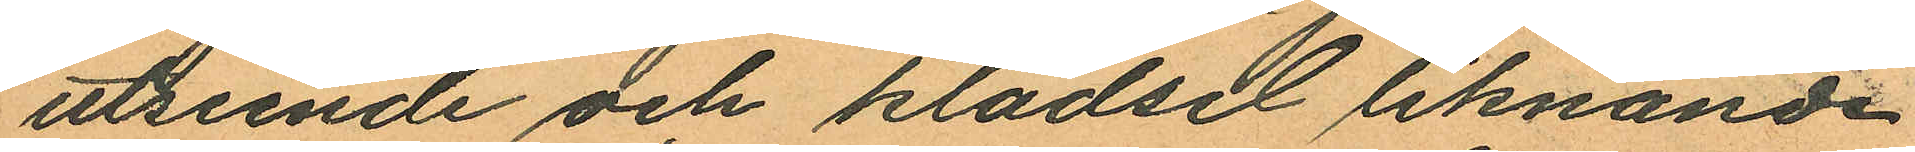utseende och klädsel liknande
